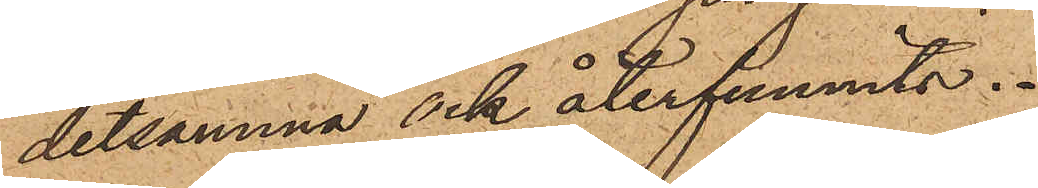detsamma ock återfunnits.
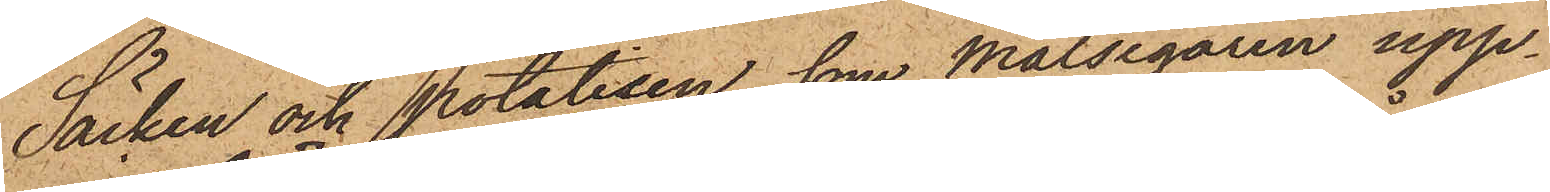Säcken och potatisen, som Målsegaren upp¬
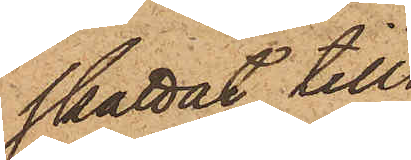skattat till¬
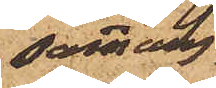sammans
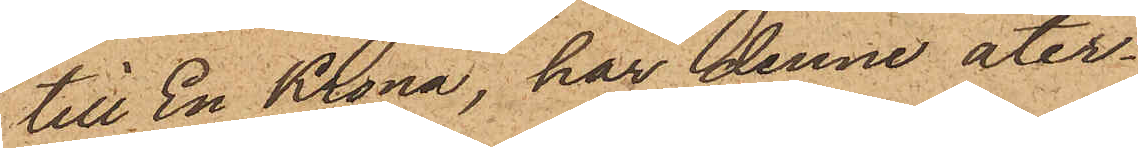till En Krona, har denne åter¬
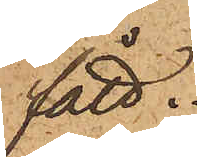fått.
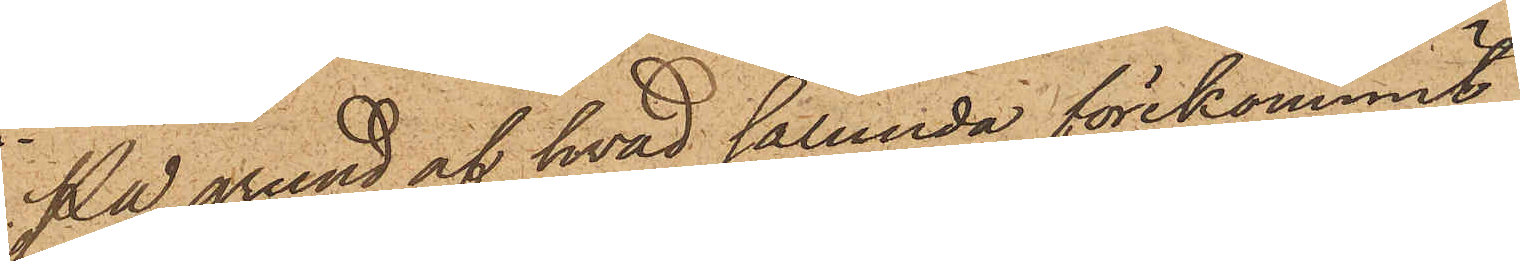På grund af hvad sålunda förekommit,
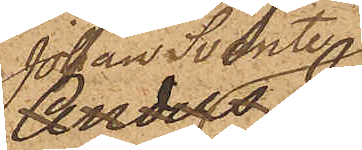Johan Svante
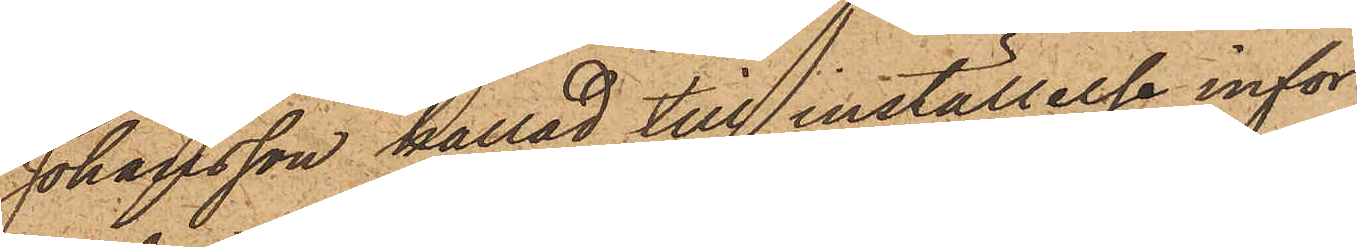Johansson kallad till inställelse inför
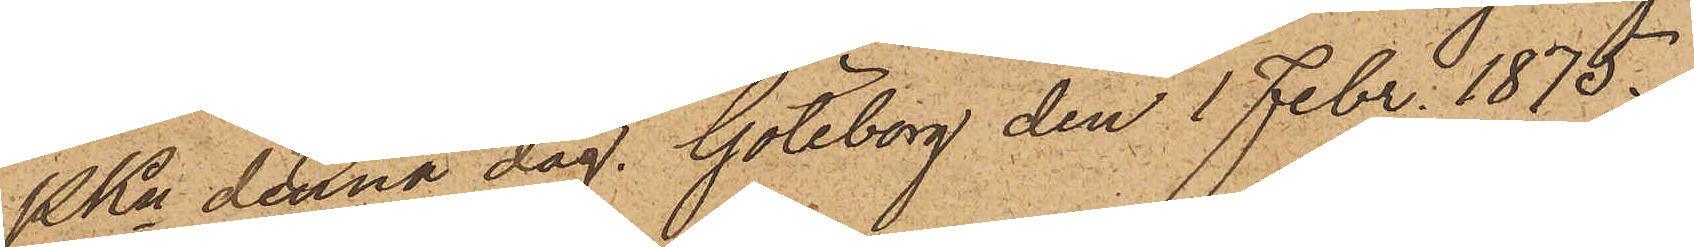PKn denna dag. Göteborg den 1 Febr. 1875.
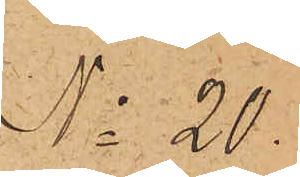No 20.
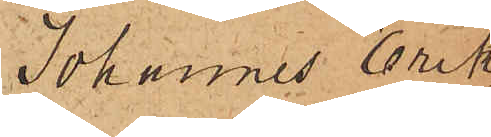Johannes Erik¬
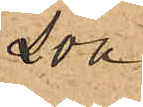son.
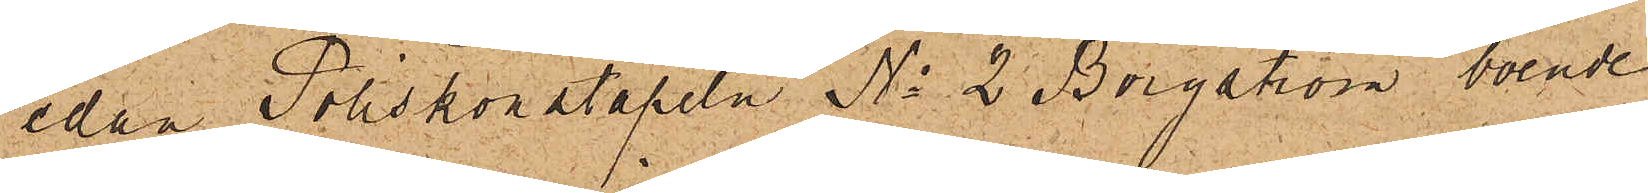Sedan Poliskonstapeln No 2 Borgström, boende
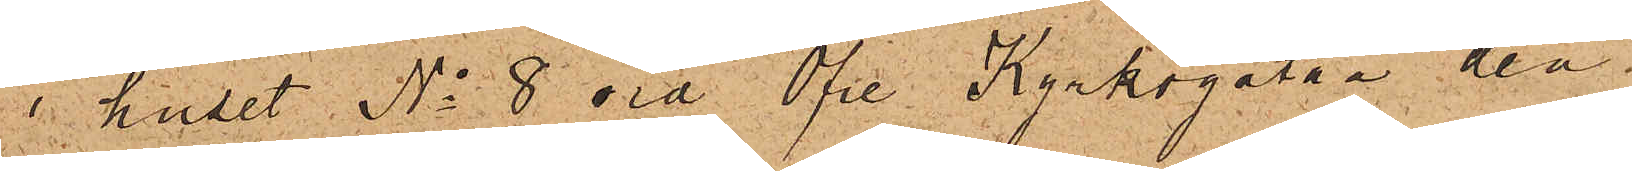i huset No 8 vid Öfre Kyrkogatan den
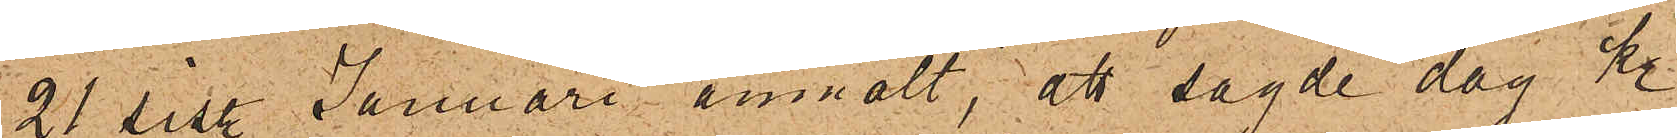21 sist. Januari anmält, att sagde dag kl.
